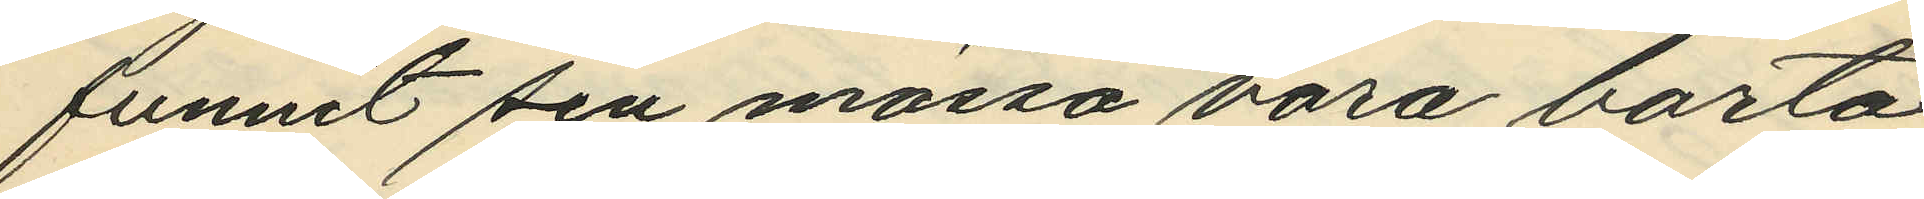funnit sin mössa vara borta
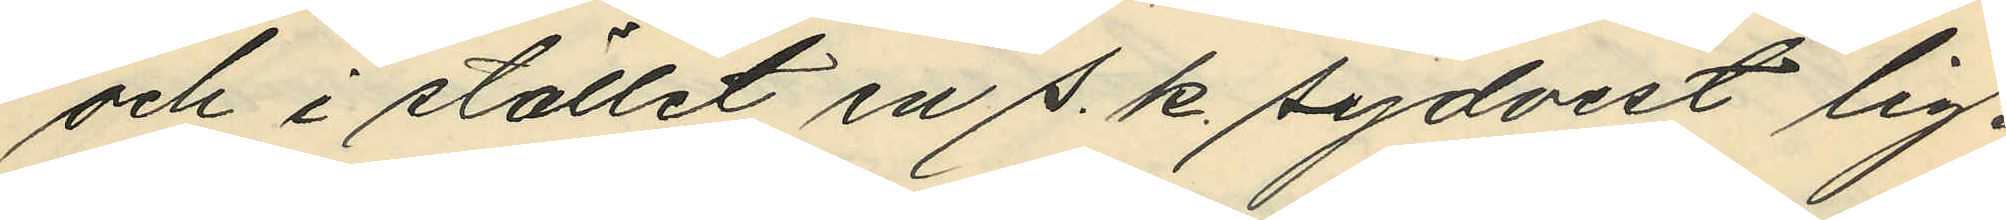och i stället en s. k. sydvest lig¬
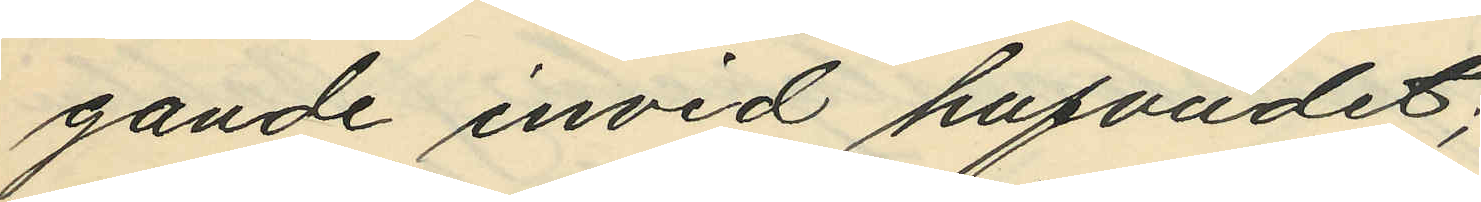gande invid hufvudet;
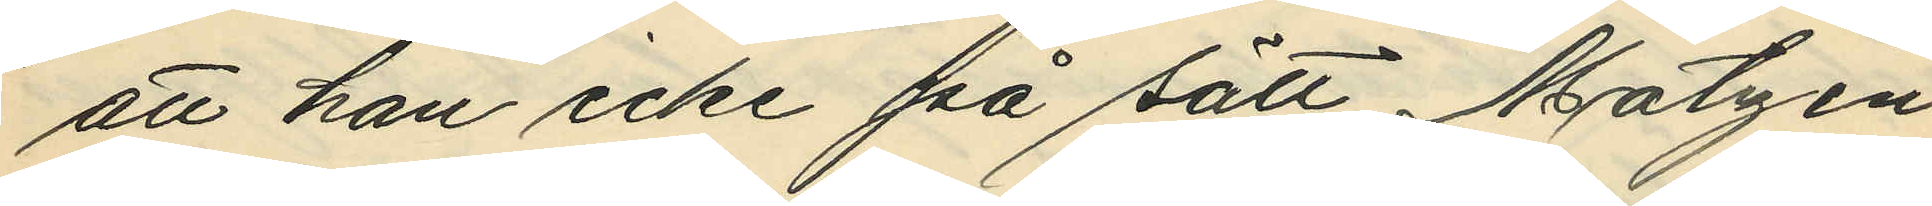att han icke på sätt Matzén
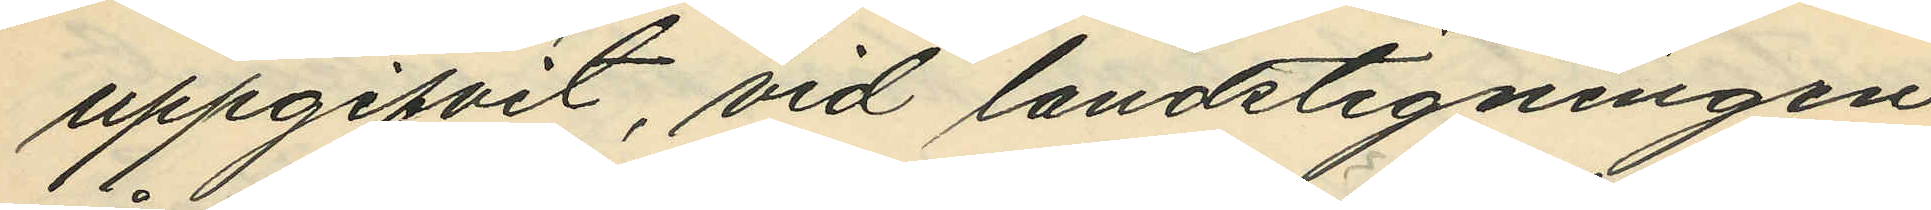uppgifvit, vid landstigningen
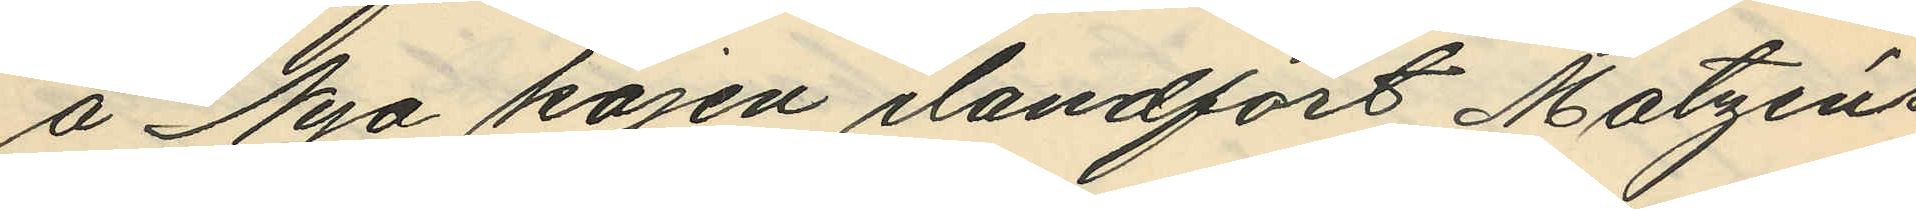å Nya kajen ilandfört Matzéns
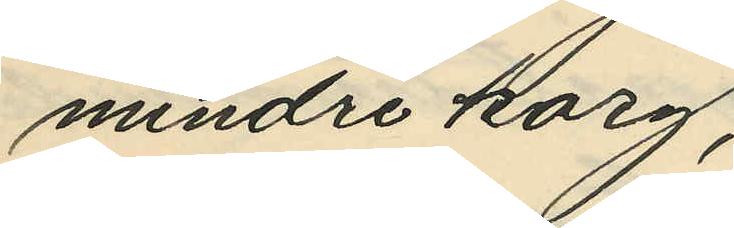mindre korg;
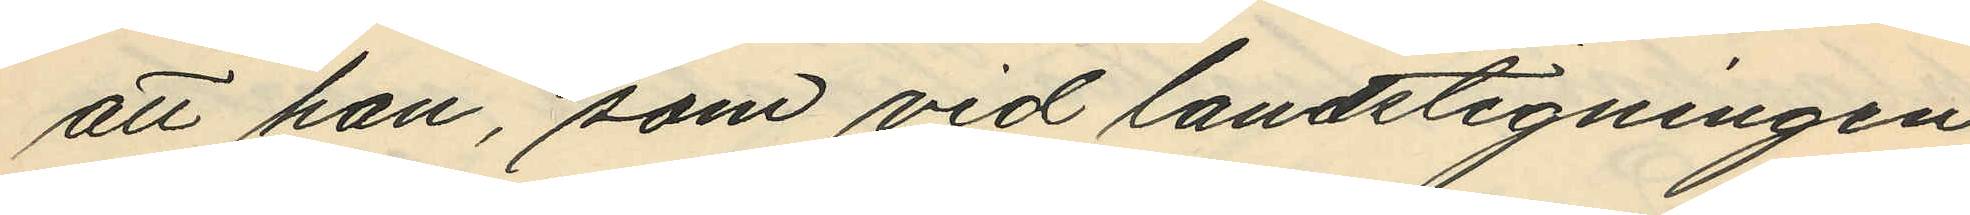att han, som vid landstigningen
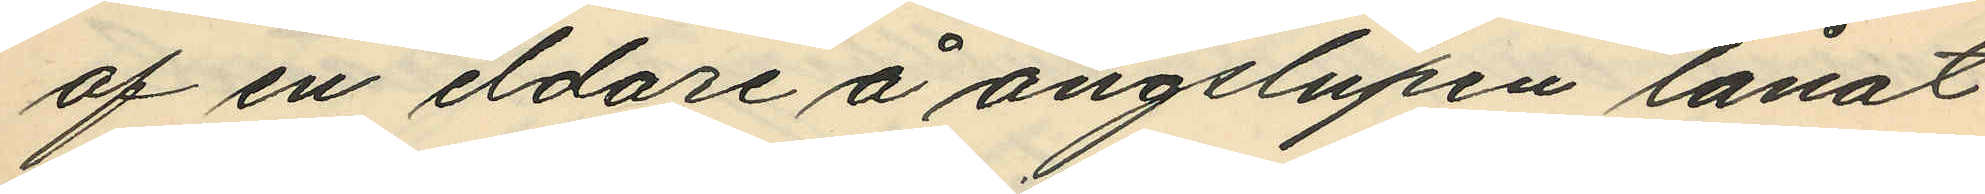af en eldare å ångslupen lånat
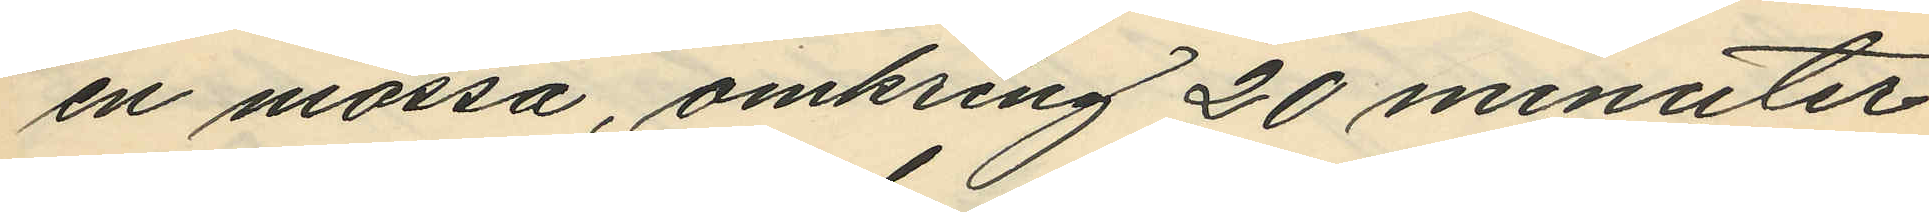en mössa, omkring 20 minuter
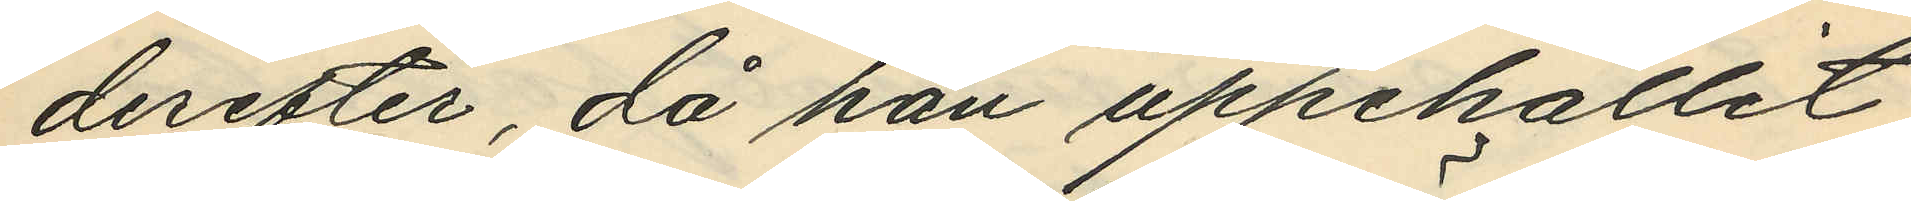derefter, då han uppehållit
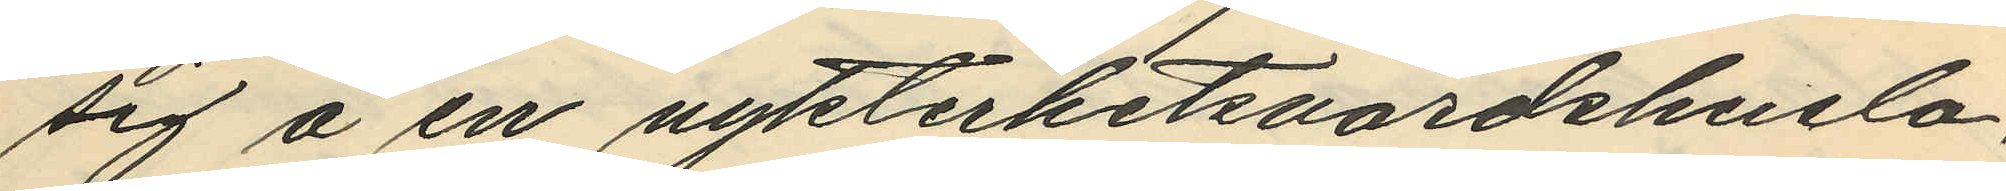sig å en nykterhetsvärdshuslo¬
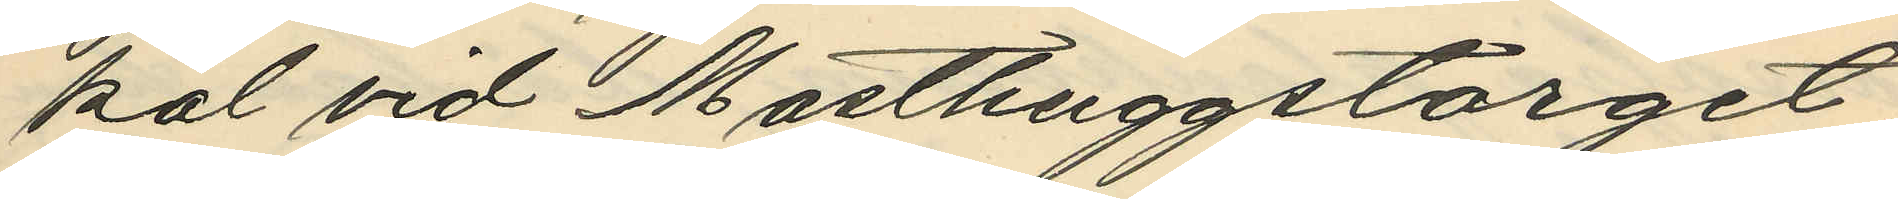kal vid Masthuggstorget,
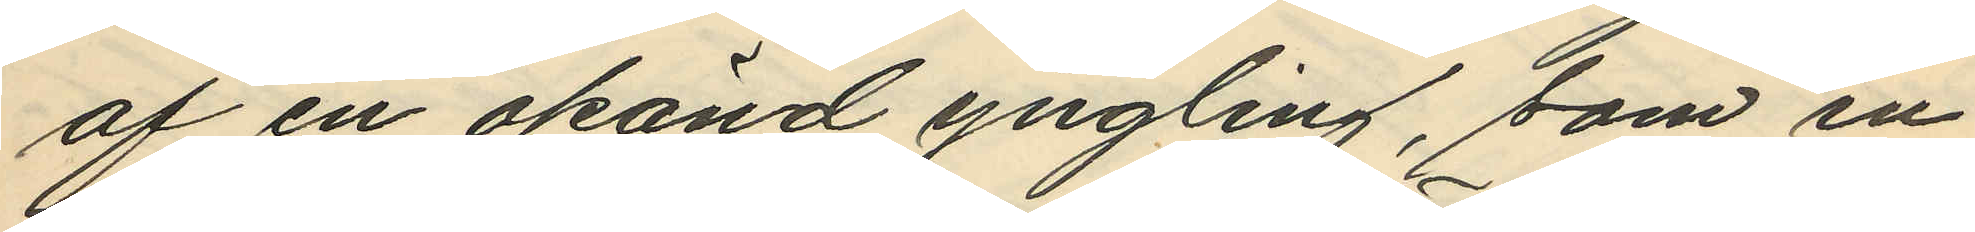af en okänd yngling, som in¬
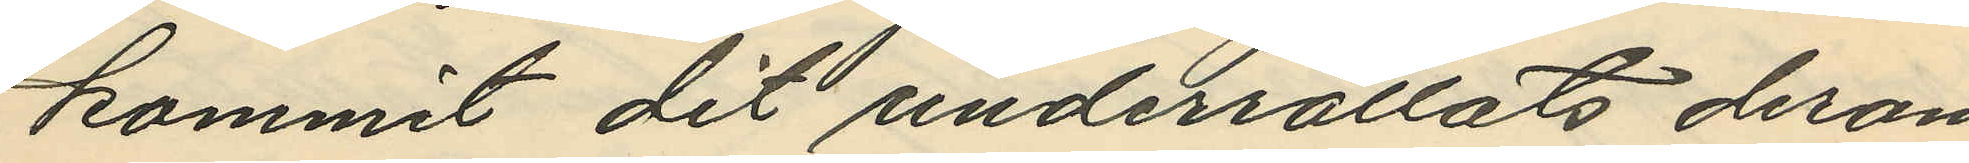kommit dit underrättats derom
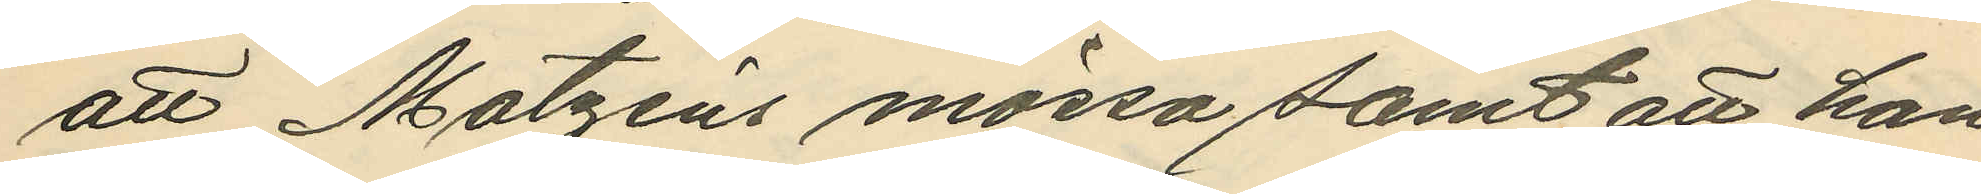att Matzéns mössa samt att han
